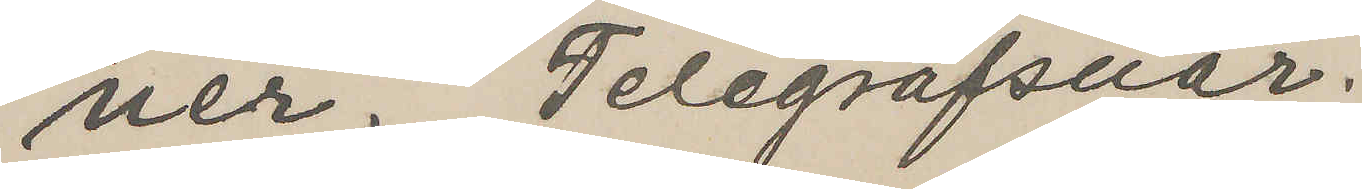ner. Telegrafsvar.
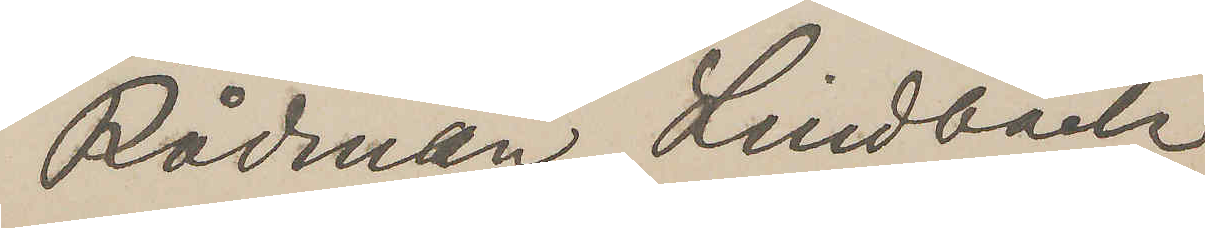Rådman Lindbäck
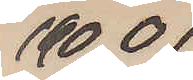1900
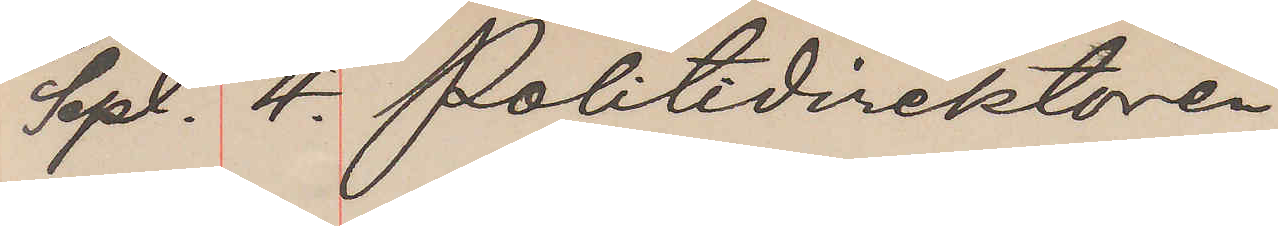Sept. 4. Politidirektören
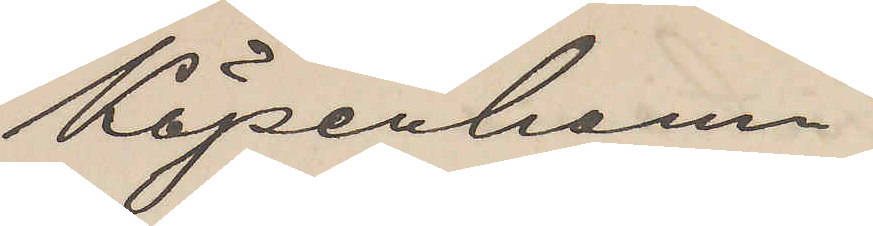Köpenhamn.
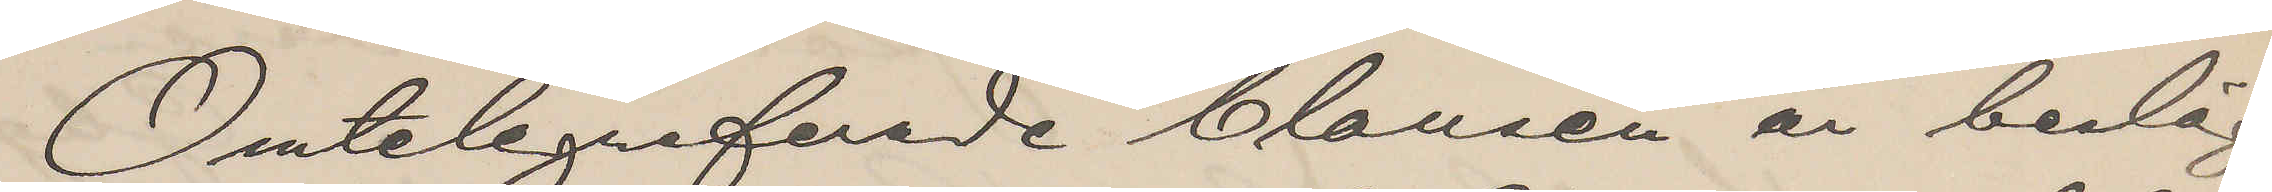Omtelegreferade Clausen är besläg¬
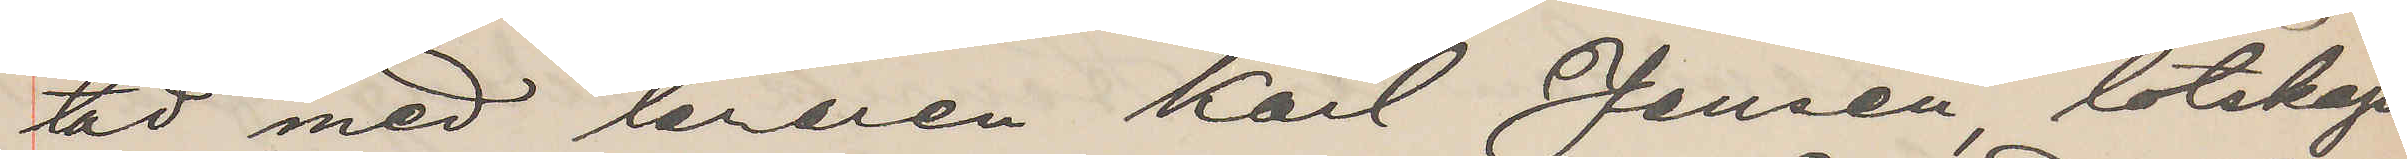tad med läraren Karl Jensen, lotskap¬
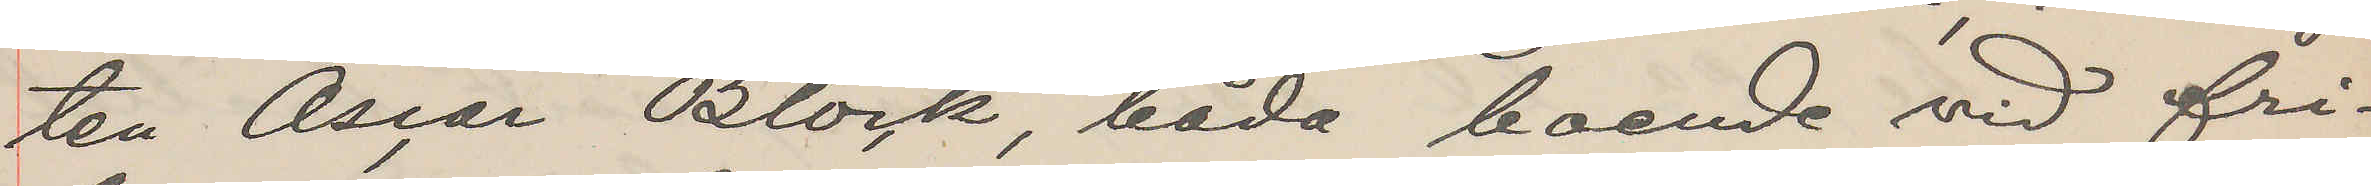ten Oscar Block, båda boende vid fri¬
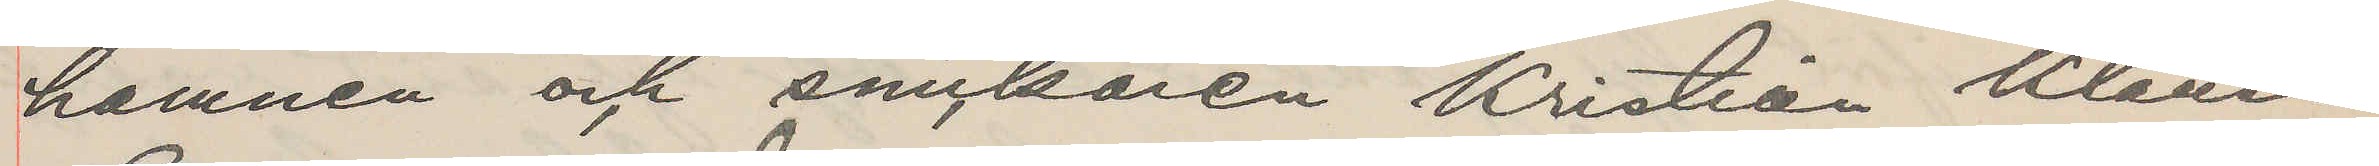hamnen och snickaren Kristian Klausen
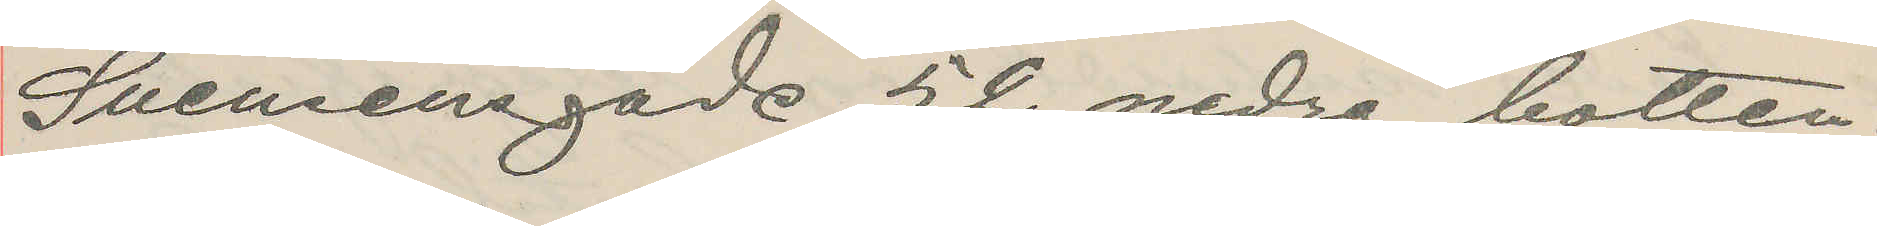Svensensgade 52 nedra botten.
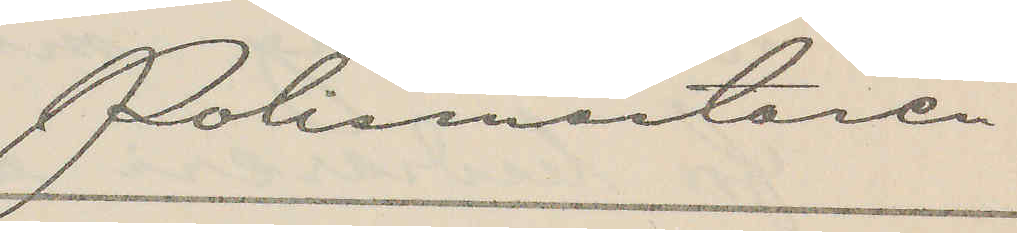Polismästaren
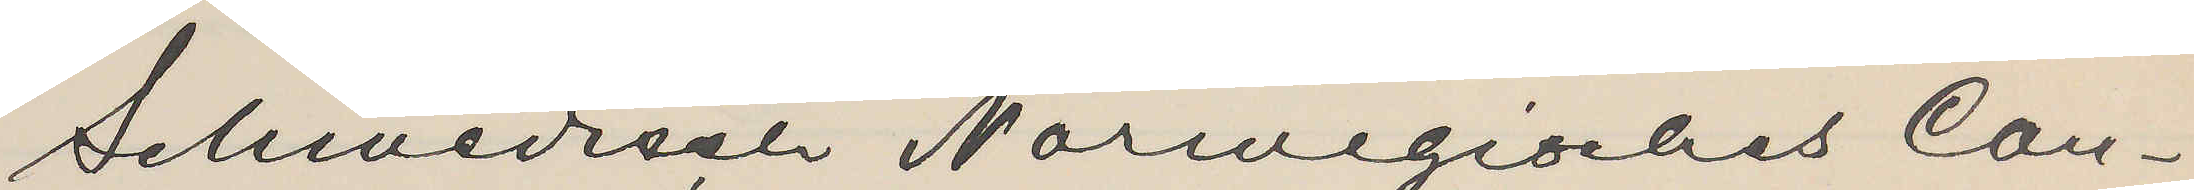Schwedisch Norwegisches Con¬
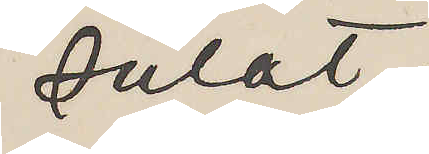sulat,
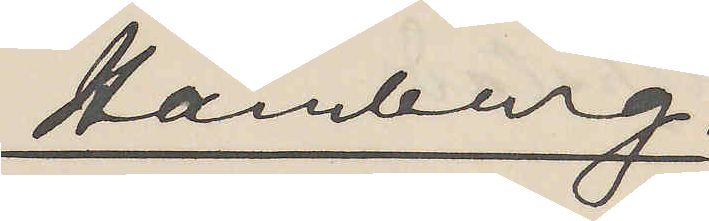Hamburg.
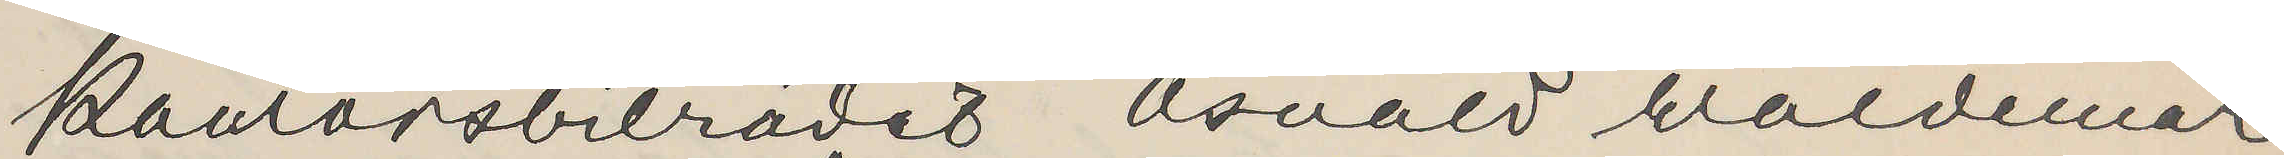Kontorsbiträdet Osvald Waldemar
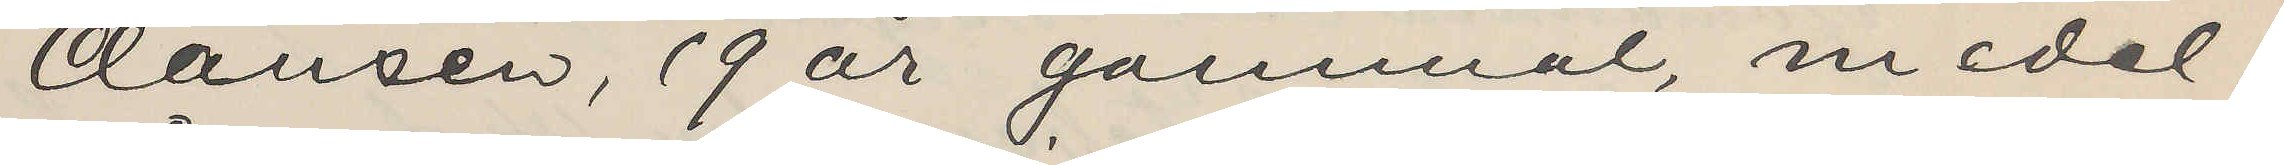Clausen, 19 år gammal, medel¬
